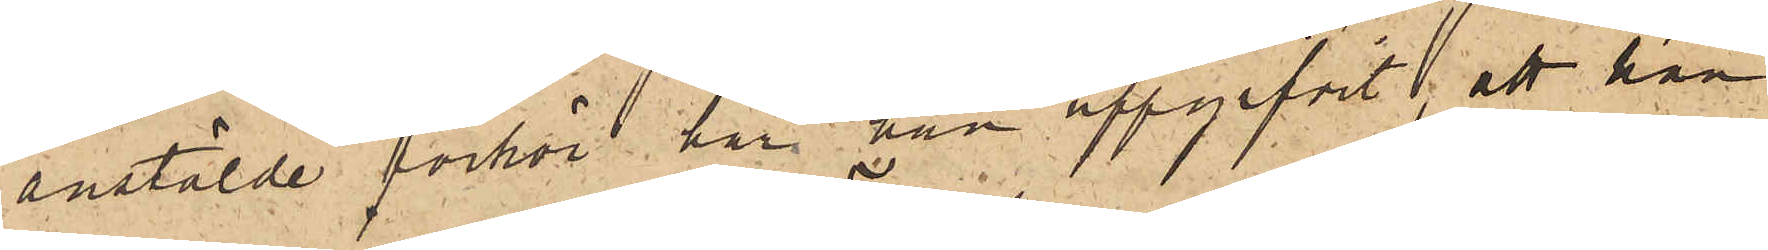anstälde förhör har han uppgifvit; att han
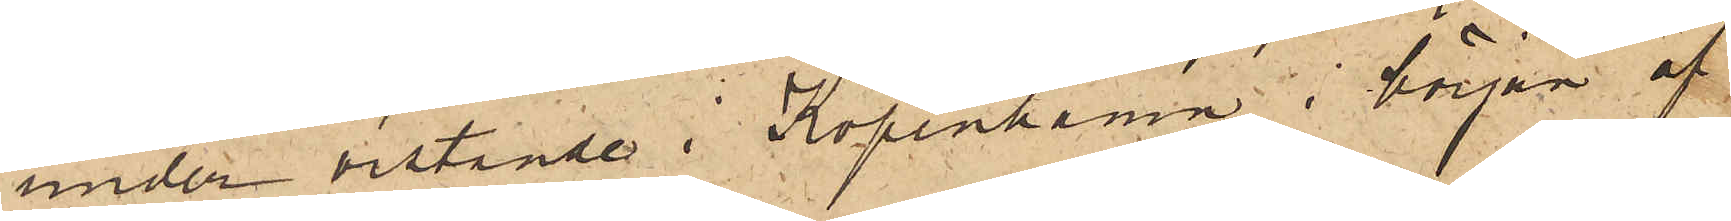under vistande i Köpenhamn i början af
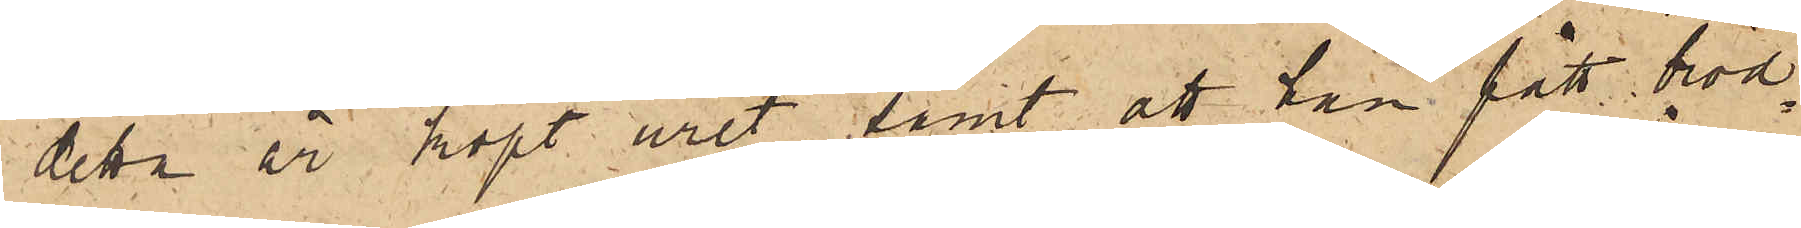detta år köpt uret samt att han fått bröd¬
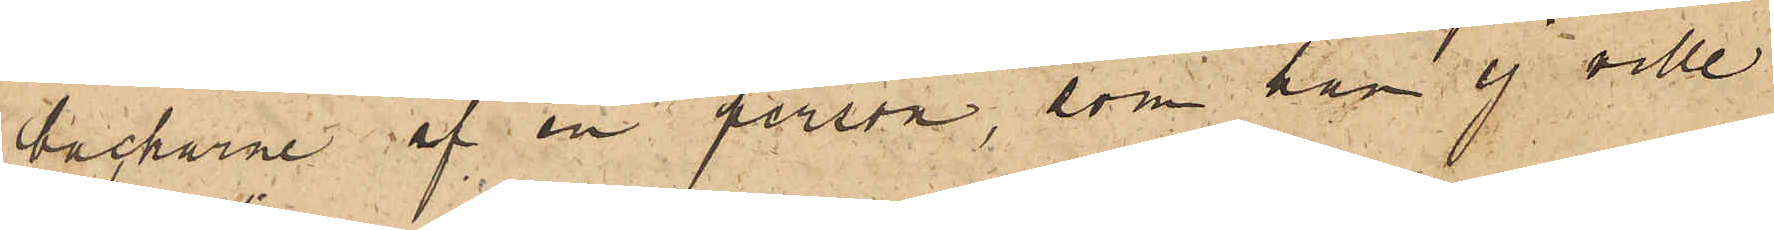backarne af en person, som han ej ville
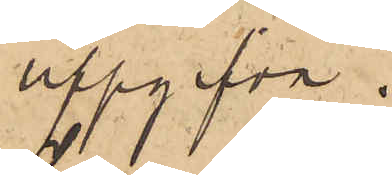uppgifva.
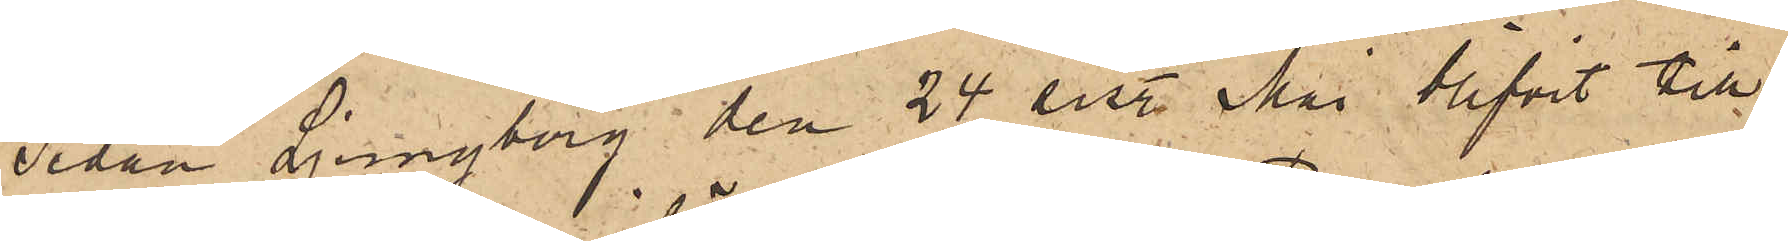Sedan Ljungberg den 24 sist. Mai blifvit till
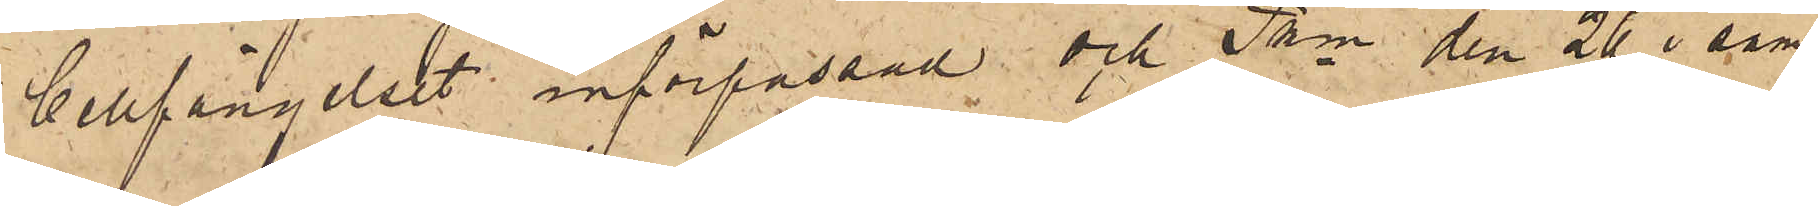Cellfängelset införpassad och Pkn den 26 i sam¬
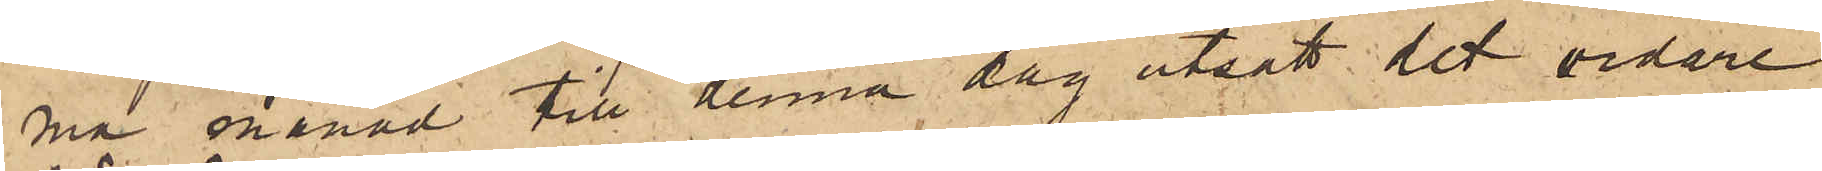ma månad till denna dag utsatt det vidare
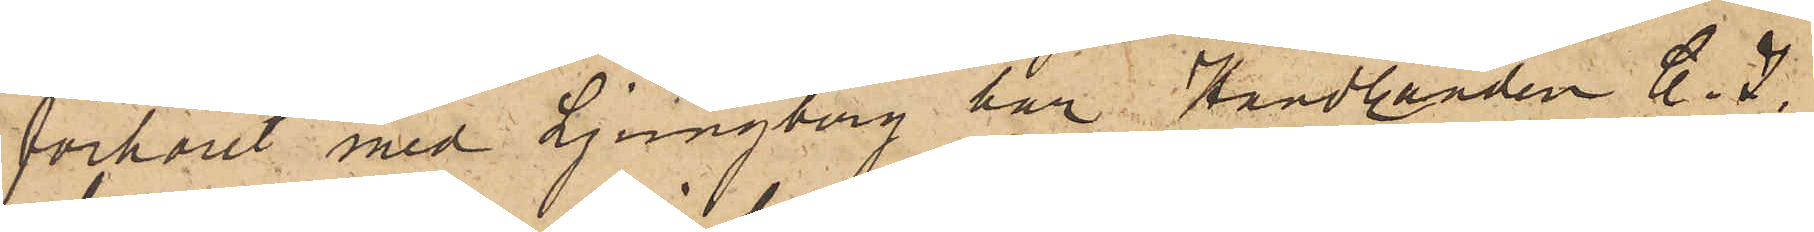förhöret med Ljungberg har Handlanden C. J.
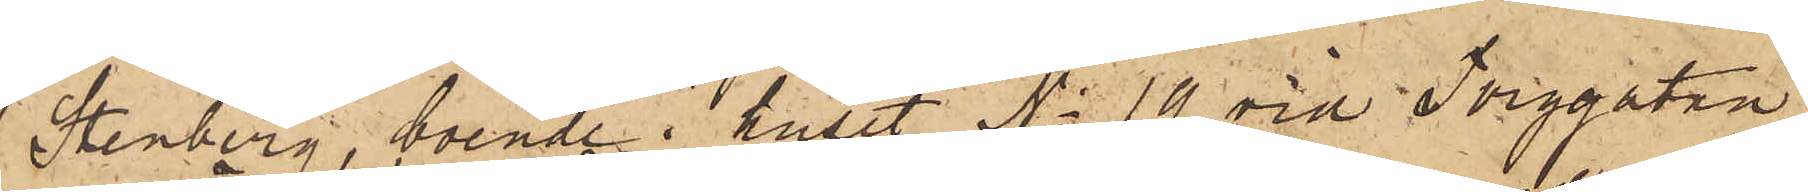Stenberg, boende i huset No 19 vid Torggatan
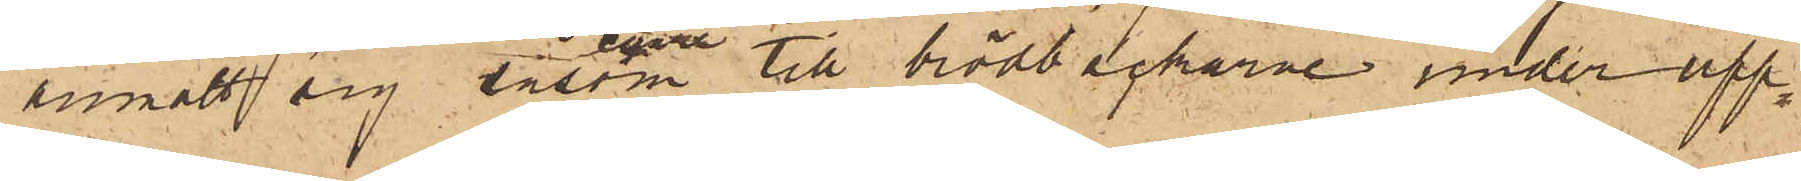anmält sig såsom egare till brödbackarne under upp¬
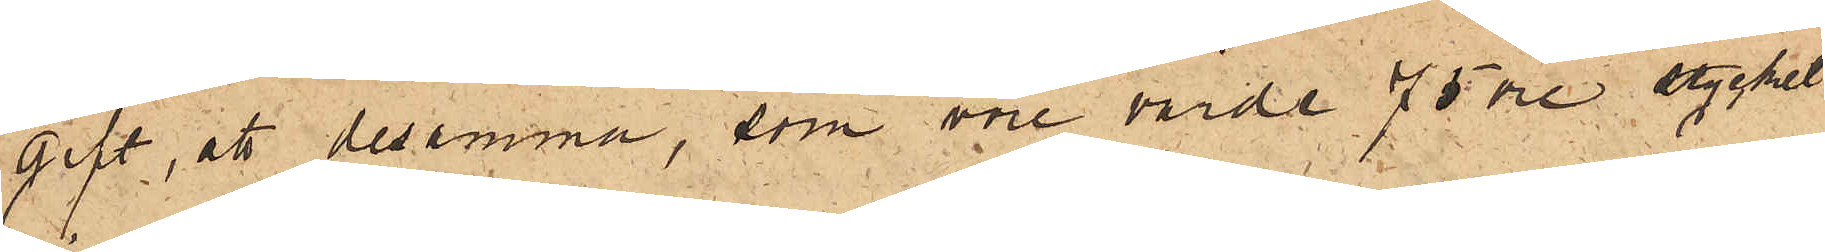gift, att desamma, som vore värde 75 öre stycket
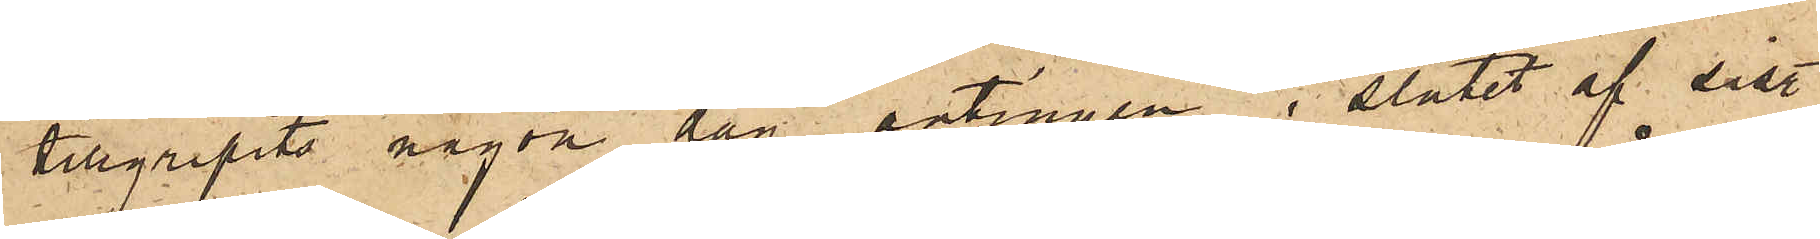tillgripits någon dag antingen i slutet af sist.
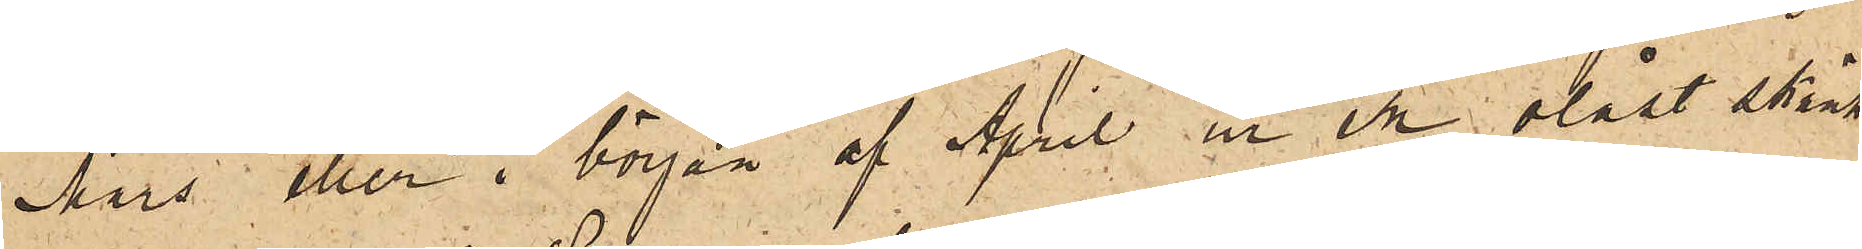Mars eller i början af April ur en olåst skänk
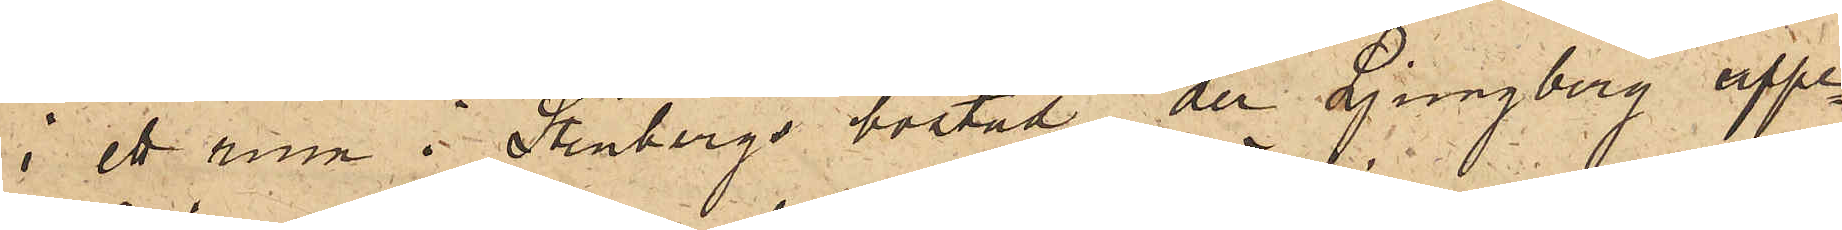i ett rum i Stenbergs bostad, der Ljungberg uppe¬
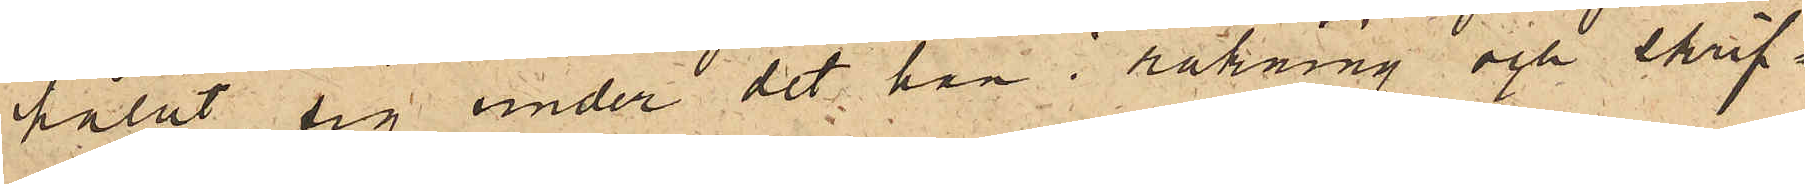hållit sig under det han i räkning och skrif¬
